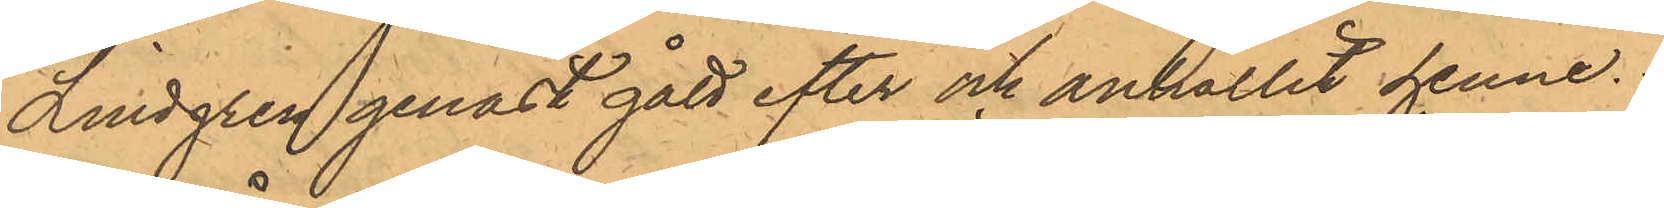Lindgren genast gått efter och anhållit henne.
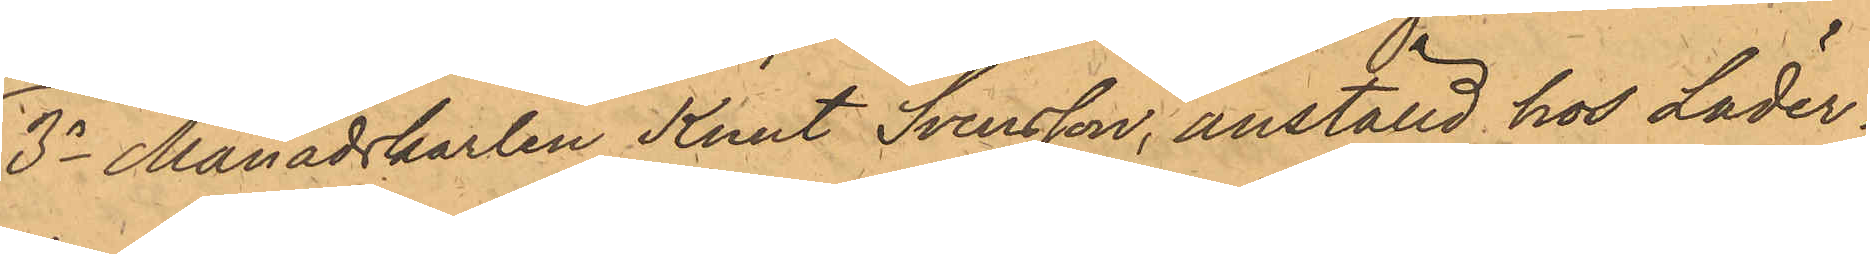3o Månadskarlen Knut Svensson, anställd hos Läder¬
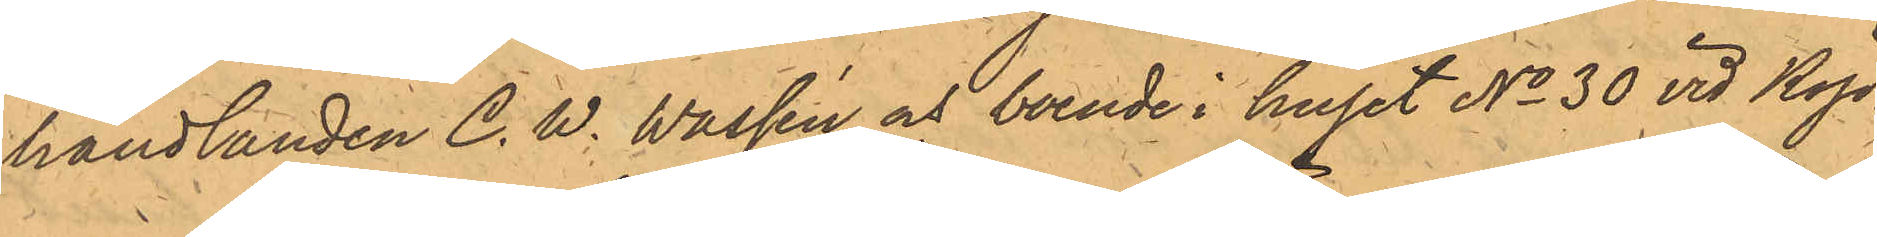handlanden C. W. Wassén och boende i huset No 30 vid Köp¬
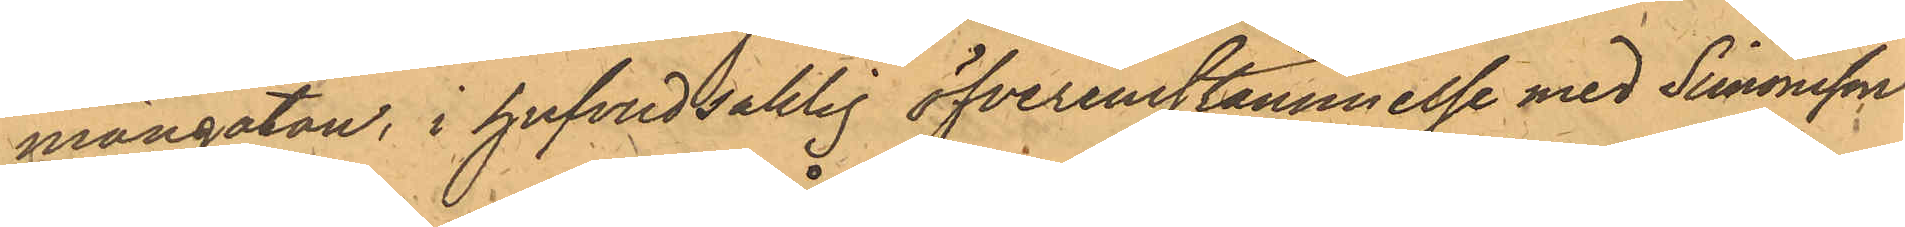mangatan, i hufvudsaklig öfverenstämmelse med Simonsson
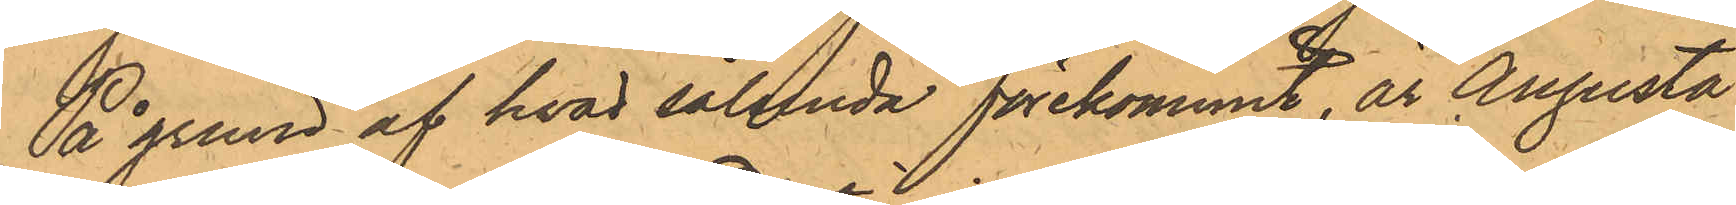På grund af hvad sålunda förekommit, är Augusta
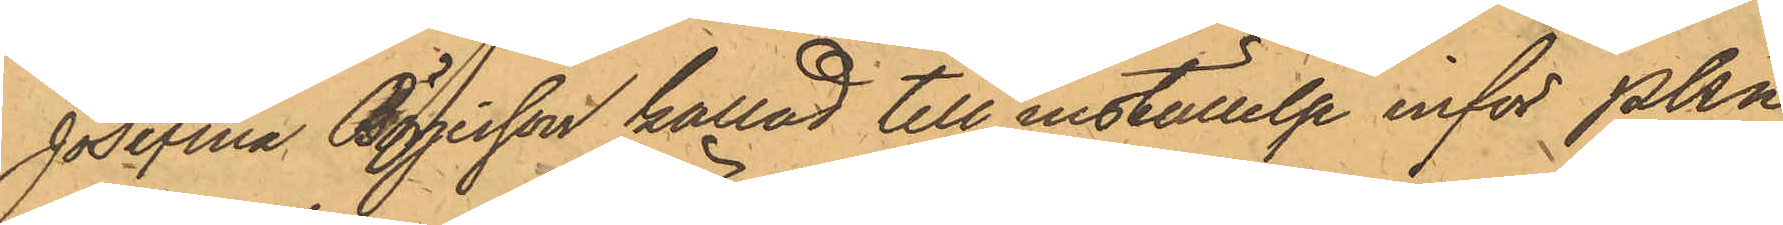Josefina Börjesson kallad till inställelse inför PKn
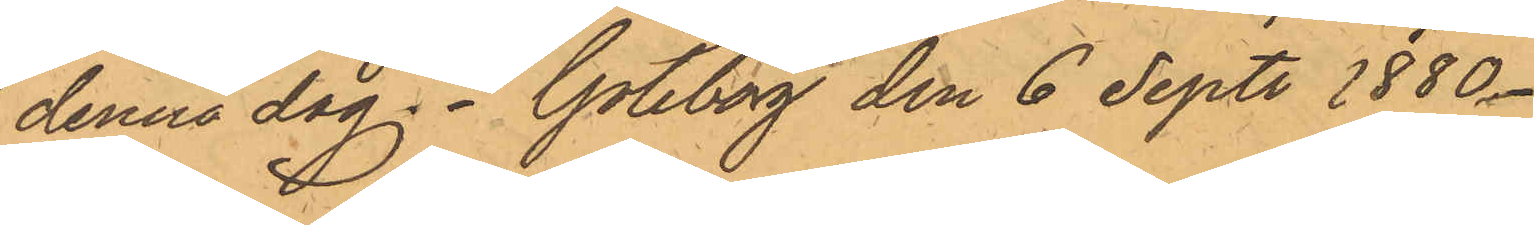denna dag. Göteborg den 6 Sept. 1880.
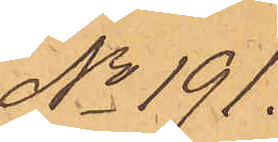No 191.
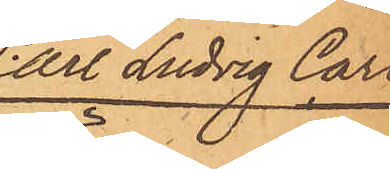Carl Ludvig Carl¬
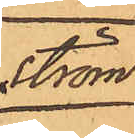ström.
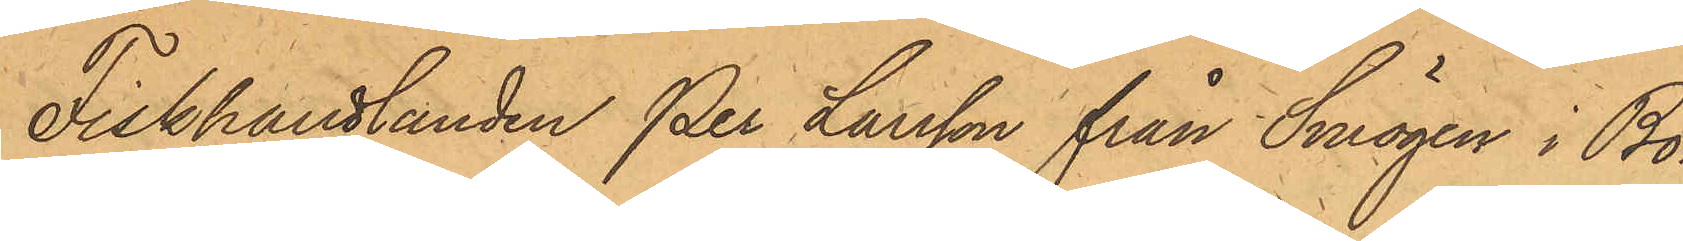Fiskhandlanden Per Larsson från Smögen i Bo¬
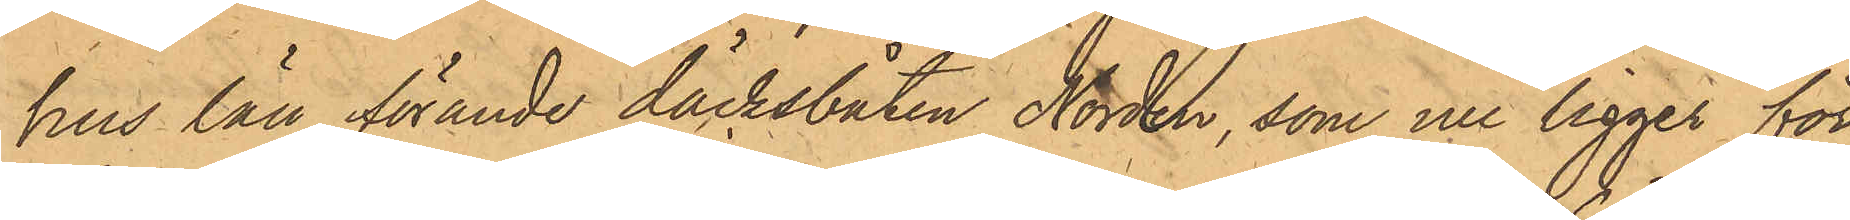hus län, förande däcksbåten Norden, som nu ligger för¬
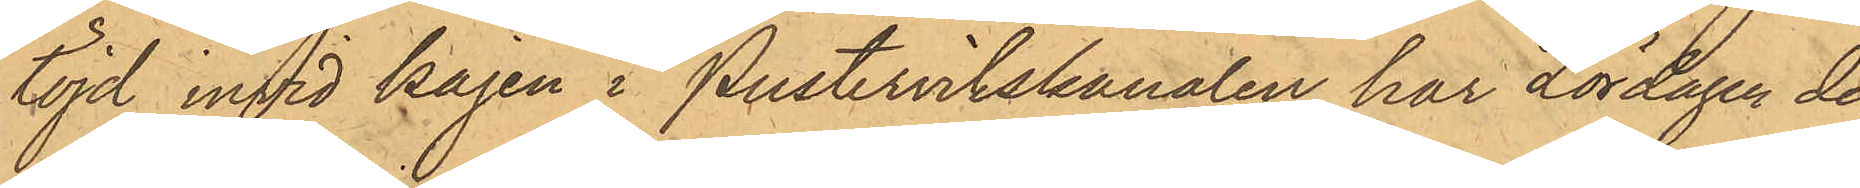töjd invid kajen i Pustervikskanalen har Lördagen den
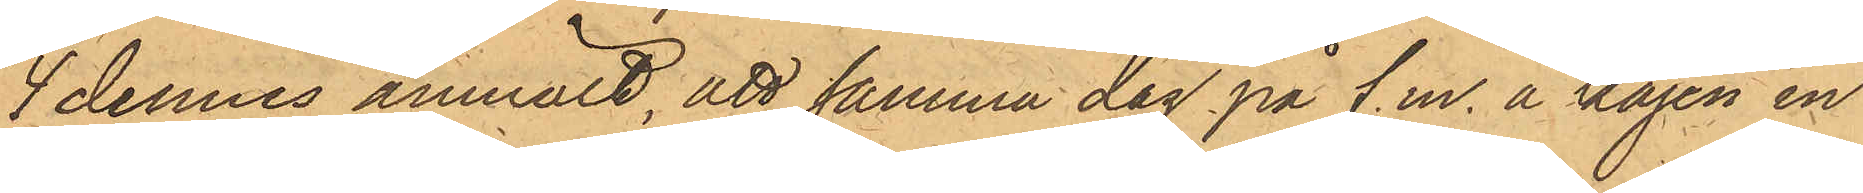4 dennes anmält, att samma dag på f.m. å kajen in¬
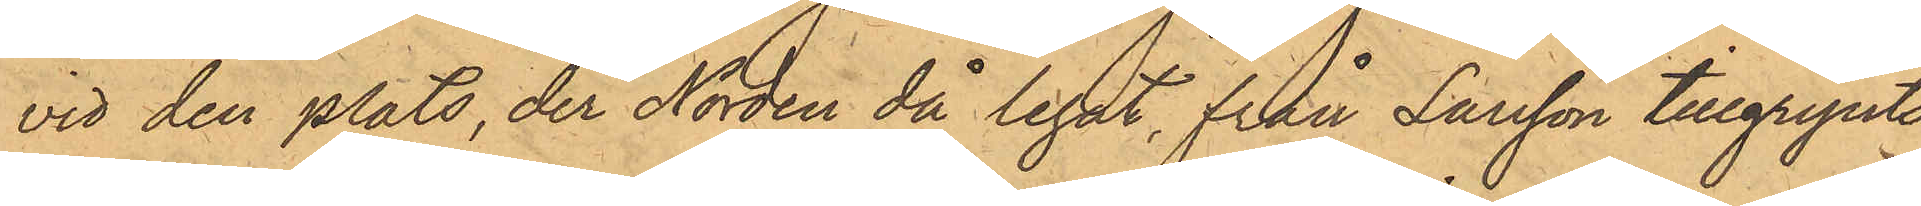vid den plats, der Norden då legat, från Larsson tillgripits
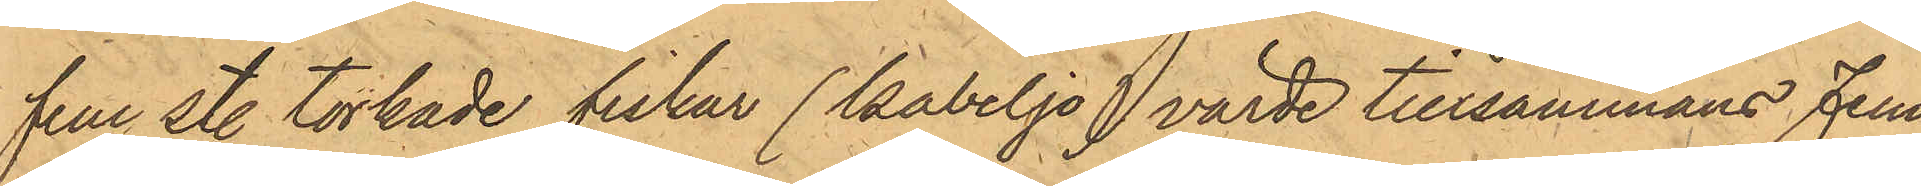fem st. torkade fiskar (kabeljo), värde tillsammans Fem
